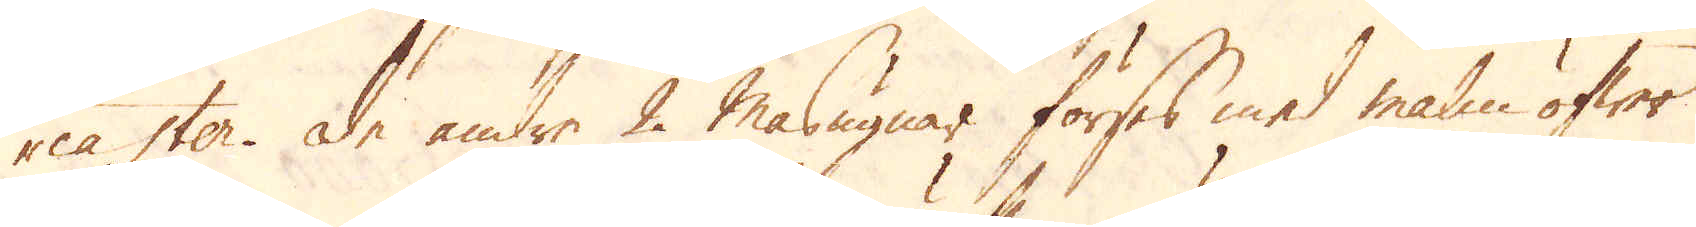caster. De andre 2 masugnar förses med malm öfwer
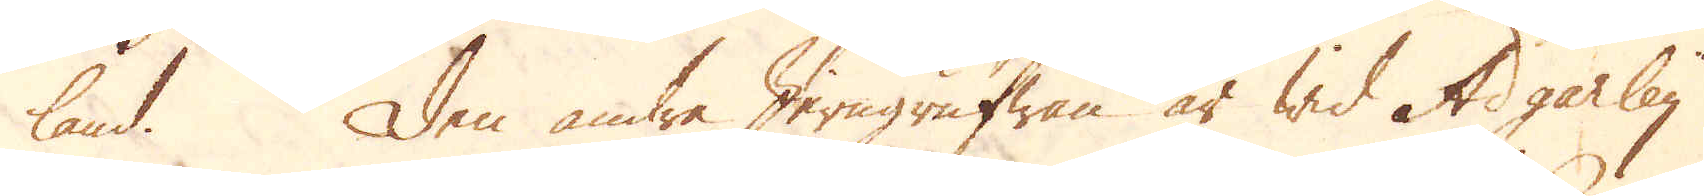land. Den andra Jerngrufwan är wid Adgarley
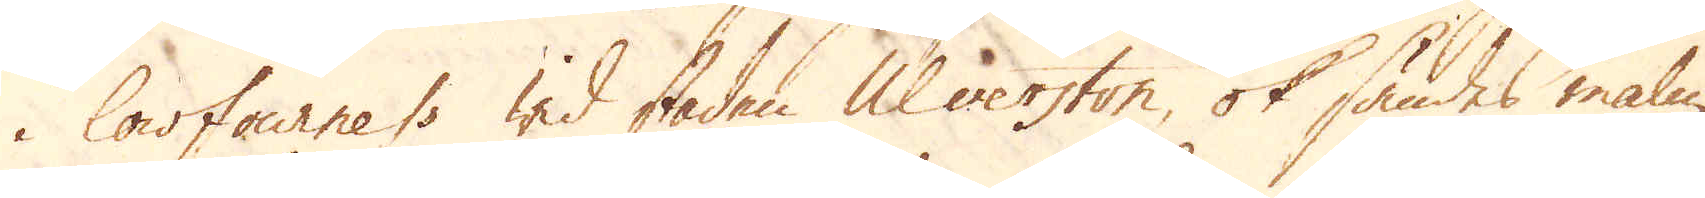i lowfourness wid staden Ulverston, ok sändes malm
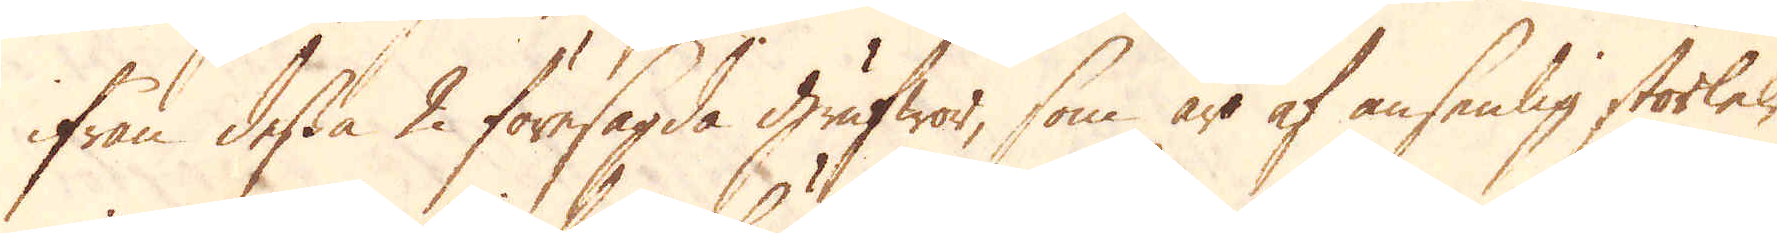ifrån dessa 2 föresagda grufwor, som äro af ansenlig storlek,
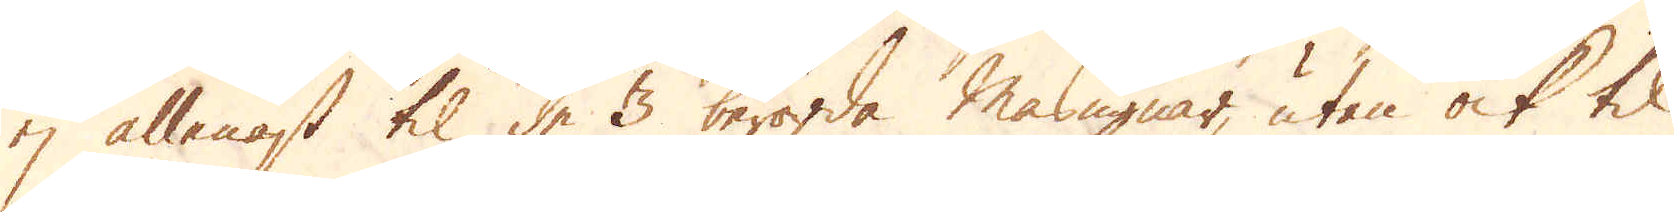ej allenast til dess 3 berörde masugnar, utan ock til
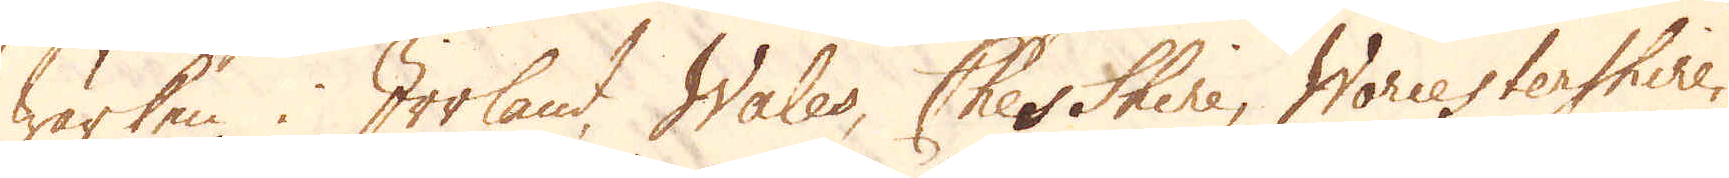wärken i Irrland, Wales, Chesshire, Warcestershire,
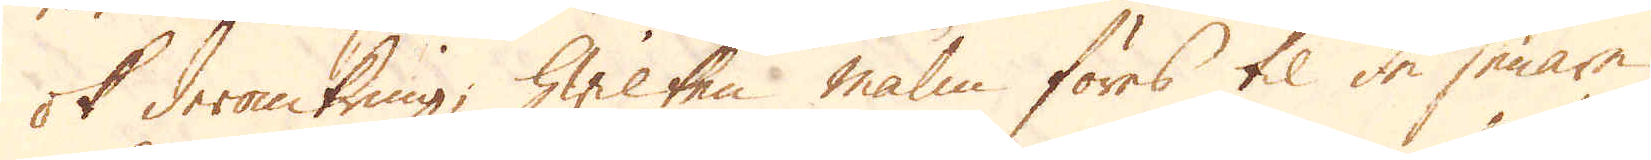ok deromkring; Wilken malm föres til de senare
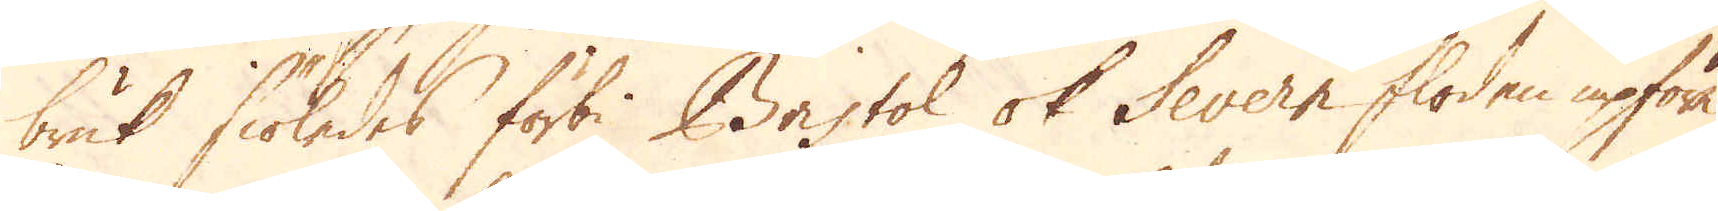bruk siöledes förbi Bristol ok Severn floden upföre.
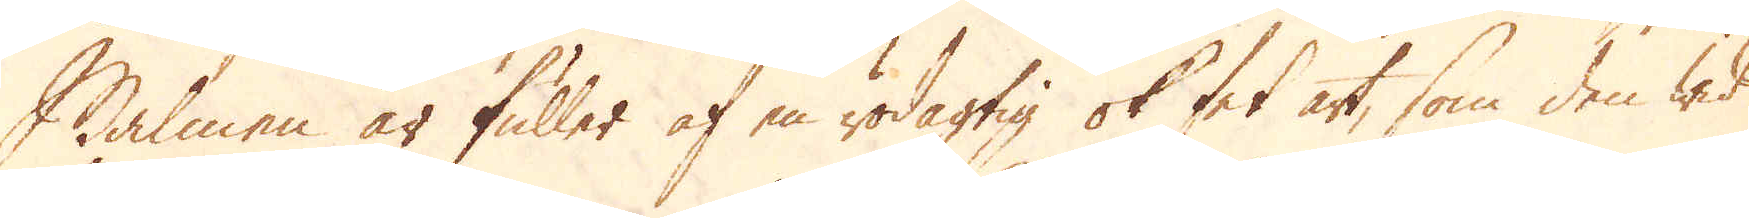Malmen är fuller af en rödagtig ok fet art, som den wid
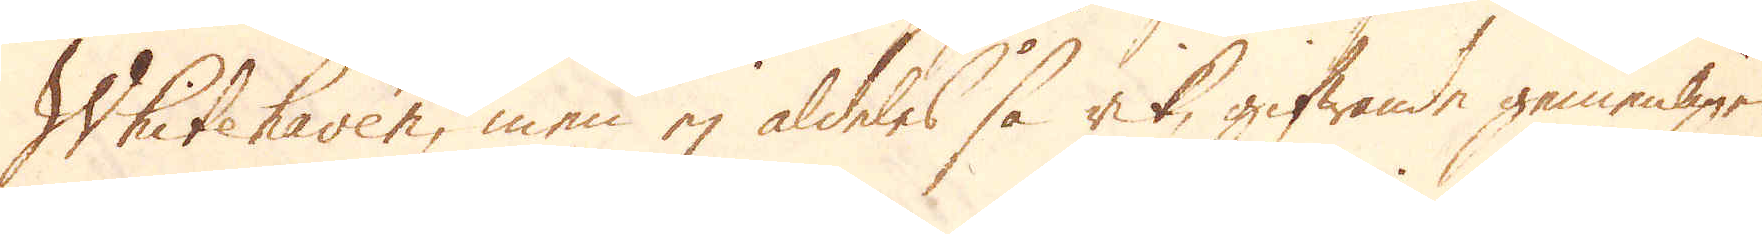Whitehaven, men ej aldeles så at, gifwande gemenligen
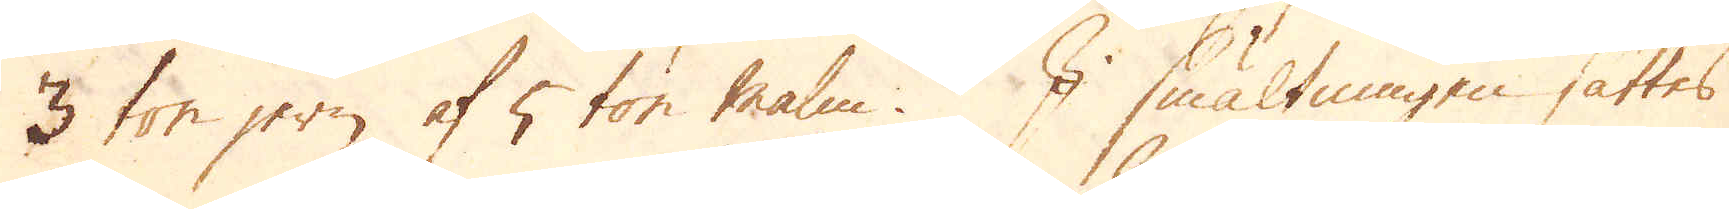3 ton jern af 5 ton malm. I smältmasen sättes
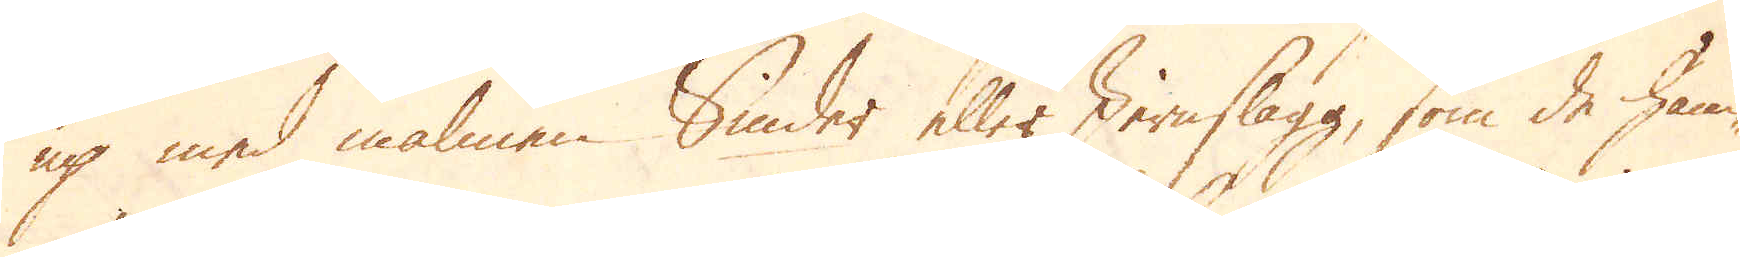up med malmen Smides eller Jernslagg, som de häm-
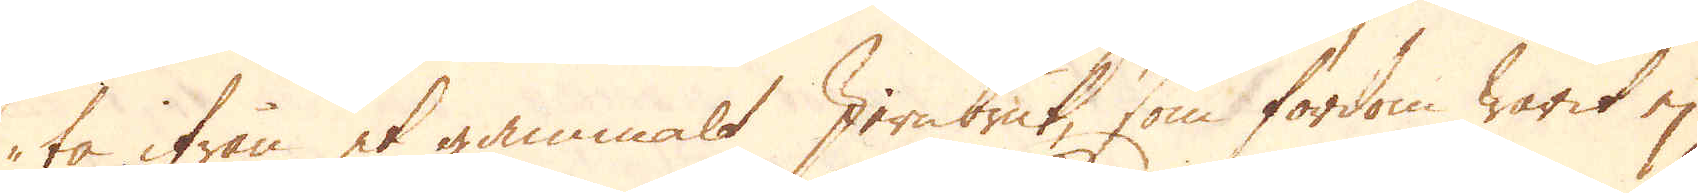ta ifrån et gammalt Jernbruk, som fordom warit ej
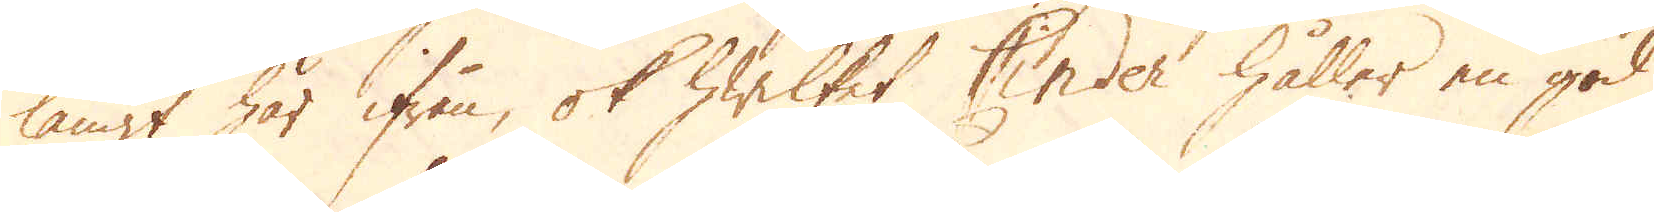långt här ifrån, ok hwilket under håller en god
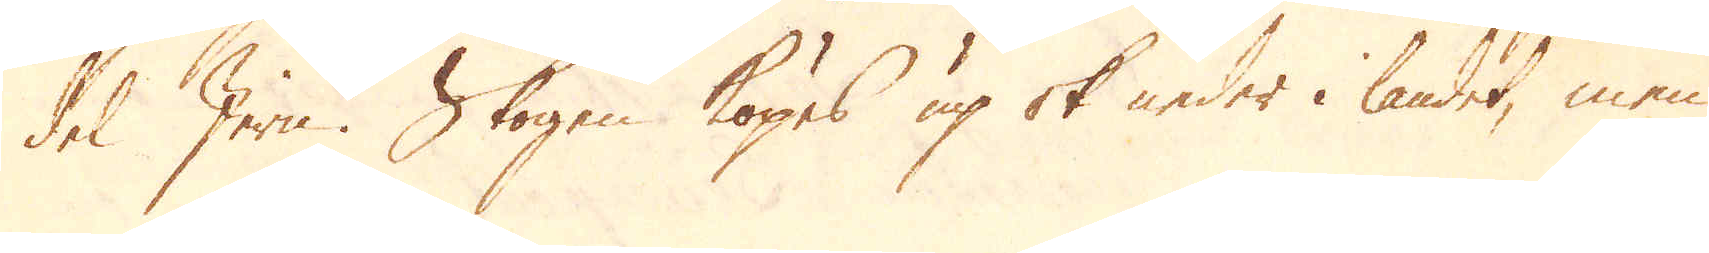del Jern. Skogen köpes up ok neder i landet, men
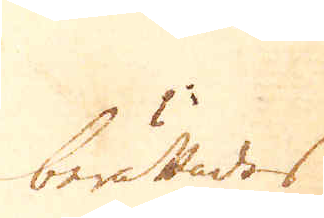berättades
